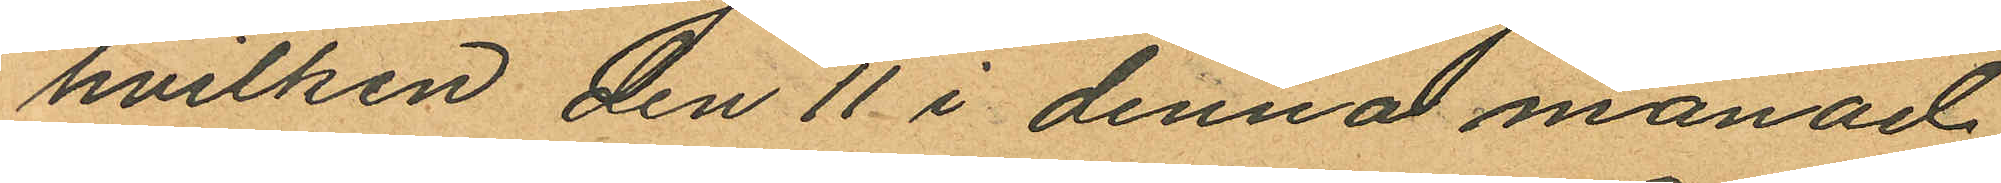hvilken den 11 i denna månad
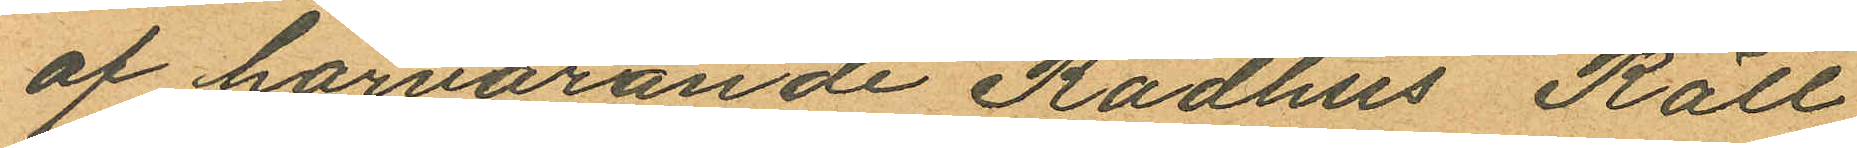af härvarande Rådhus Rätt
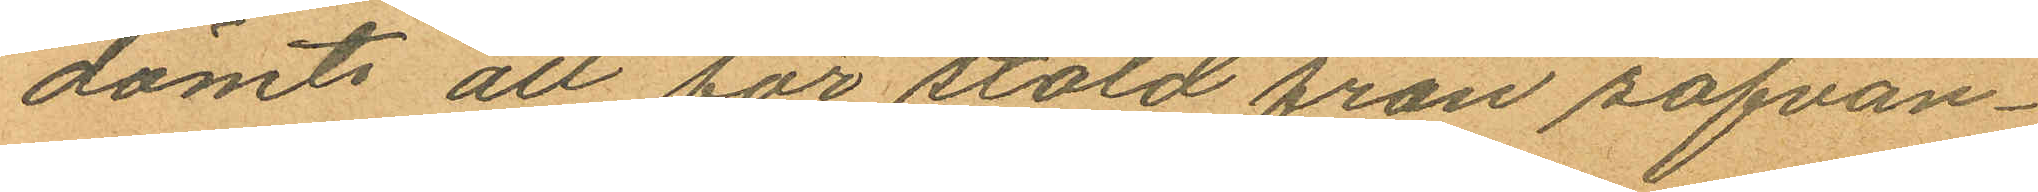dömts att för stöld från sofvan¬
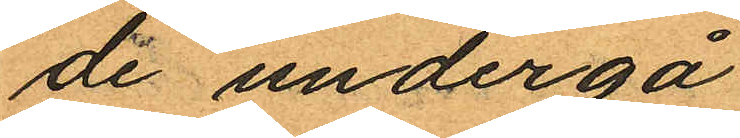de undergå
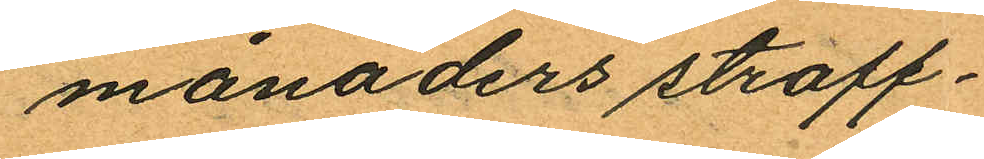månaders straff¬
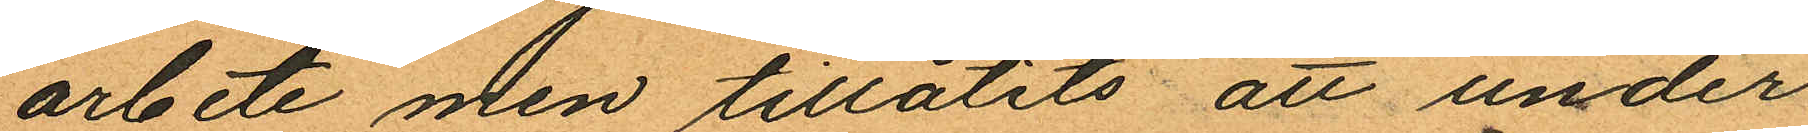arbete men tillåtits att under
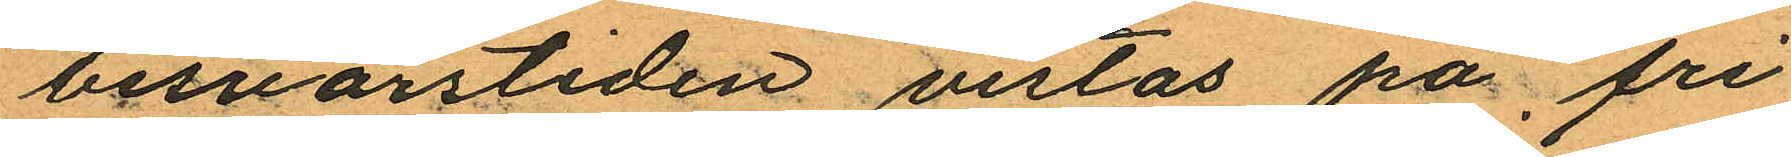besvärstiden vistas på fri
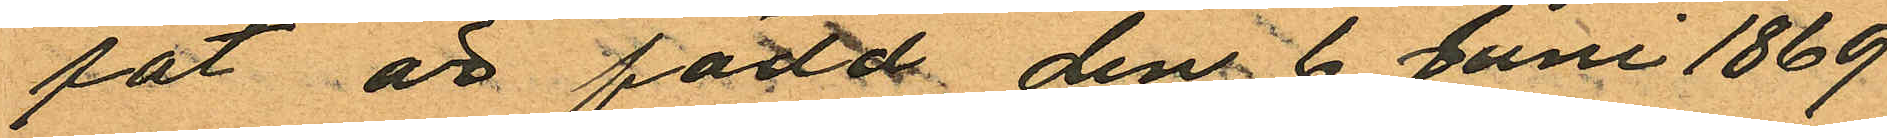fot är född den 6 Juni 1869
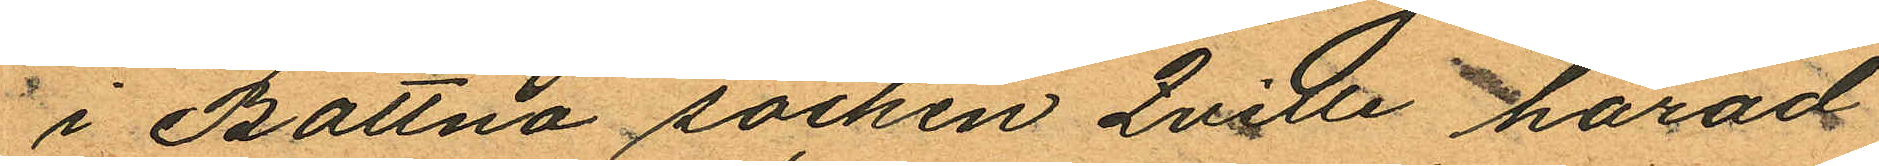i Bottna socken Qville härad
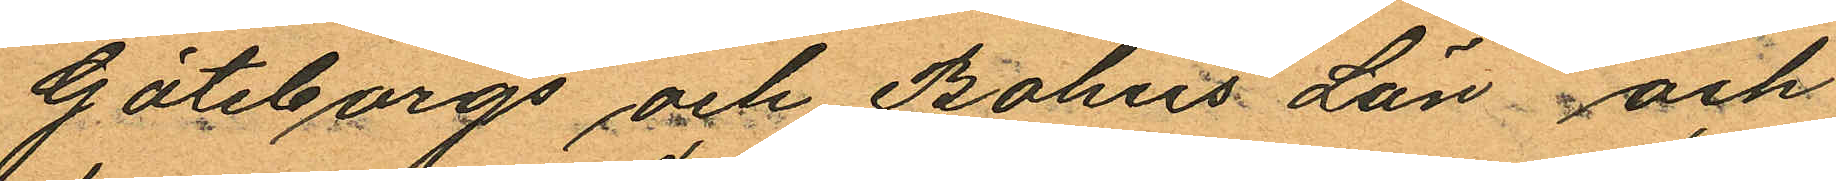Göteborgs och Bohus Län och
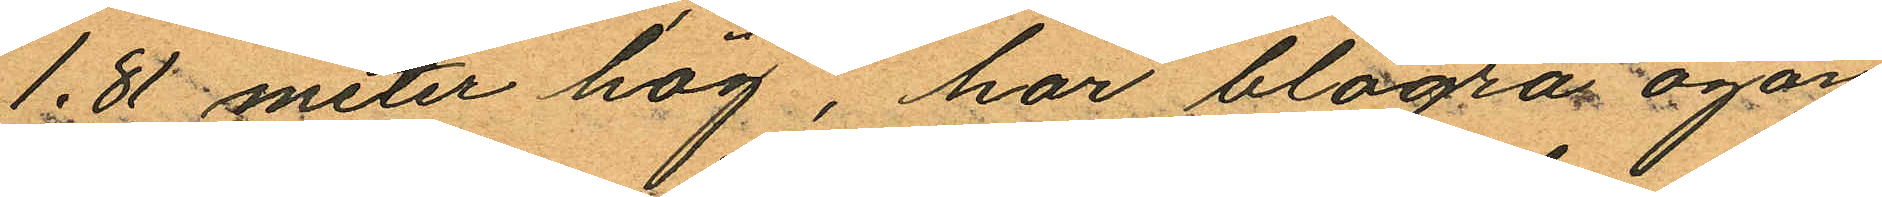1.81 meter hög, har blågrå ögon
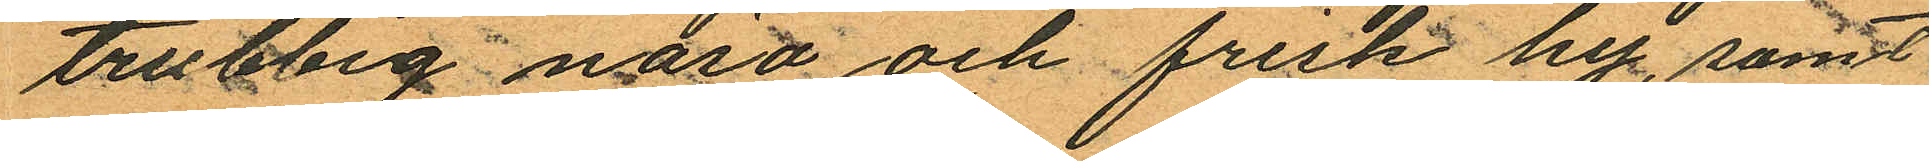trubbig näsa och frisk hy, samt
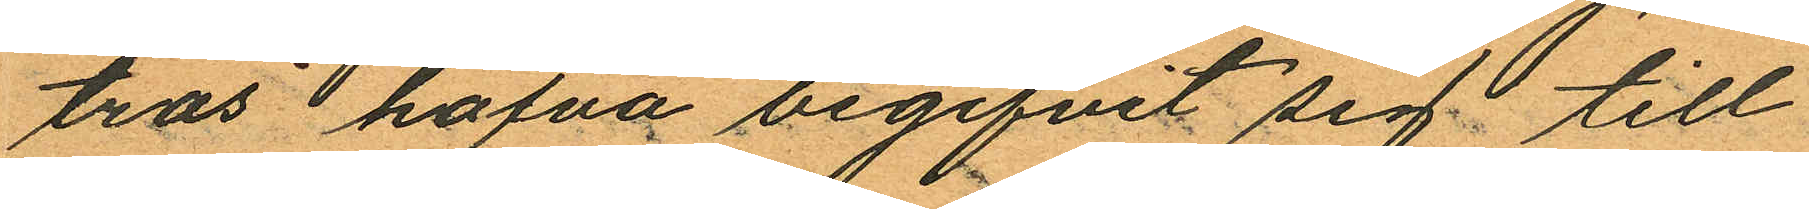tros hafva begifvit sig till
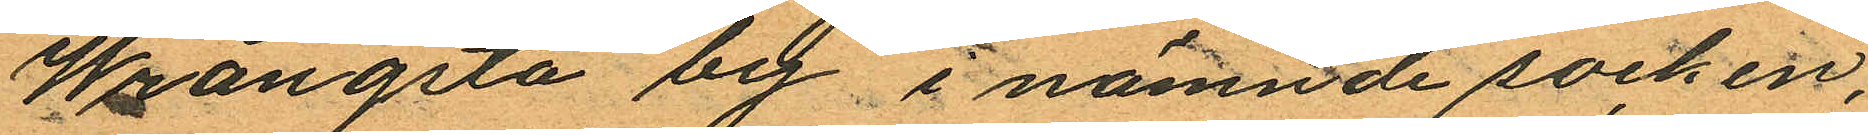Wrängsta by, i nämnde socken,
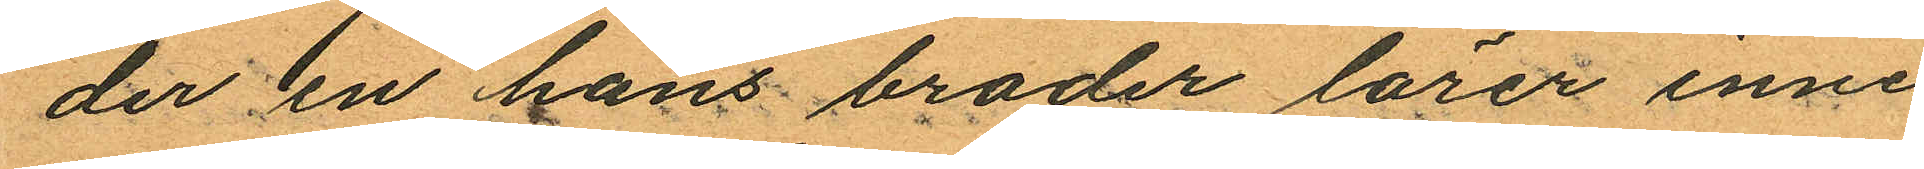der en hans broder lärer inne
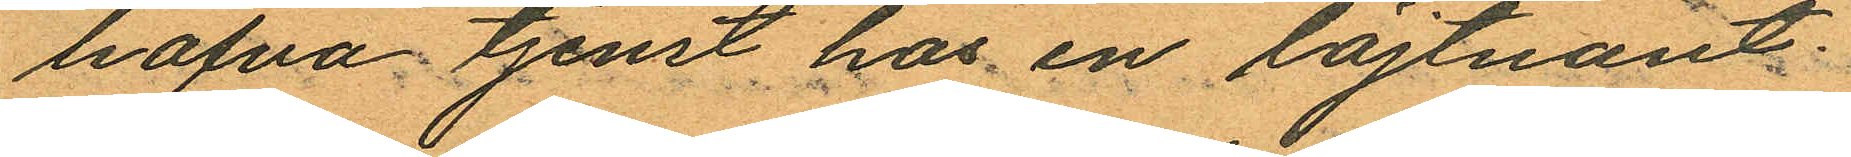hafva tjenst hos en löjtnant.
